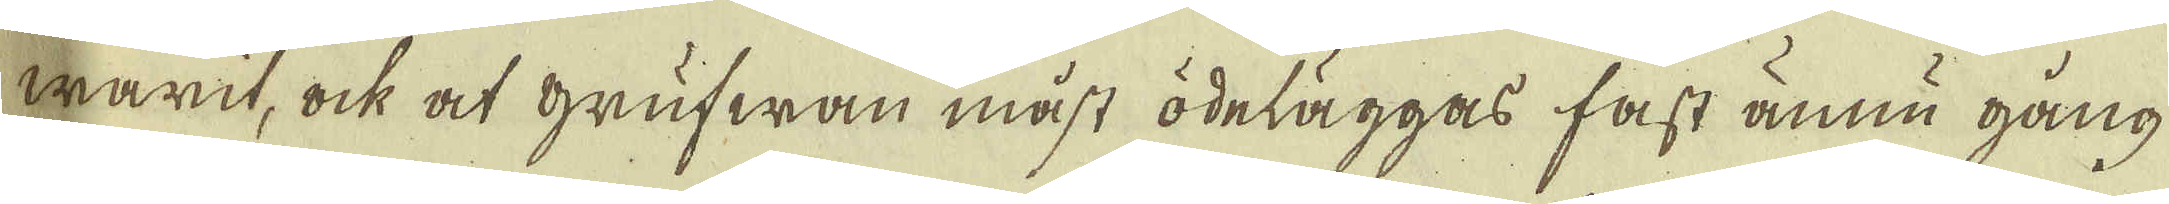warit, ock at grufwan måst ödeläggas fast ännu gång
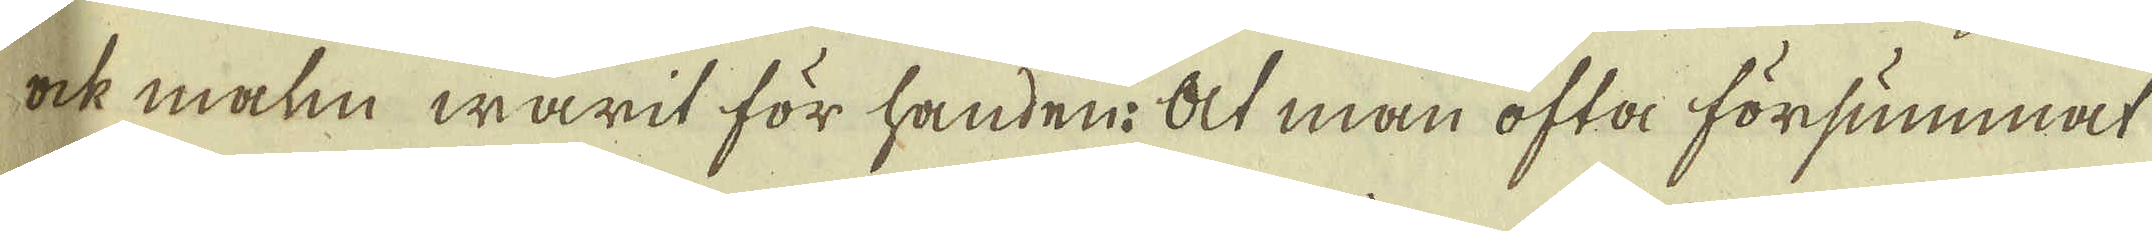ock malm warit för handen: At man ofta försummat
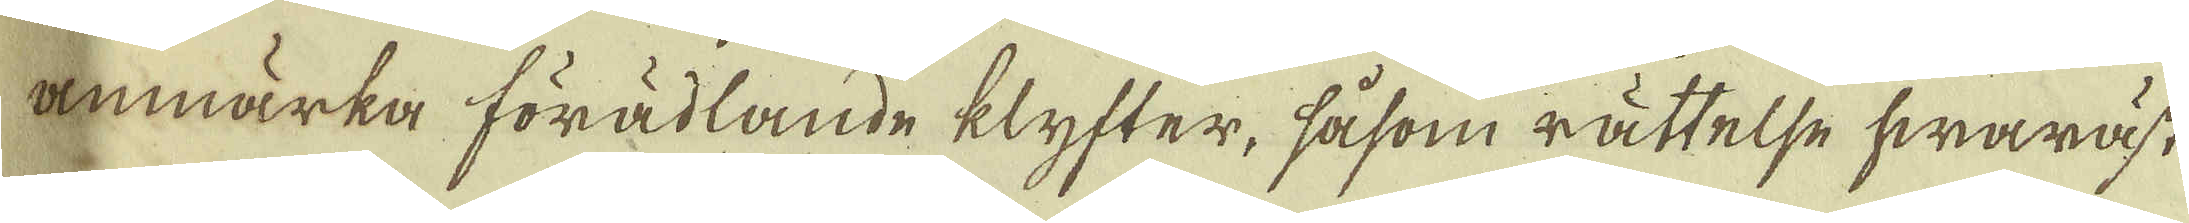anmärka förädlande klyfter, såsom rättelse hwaräst
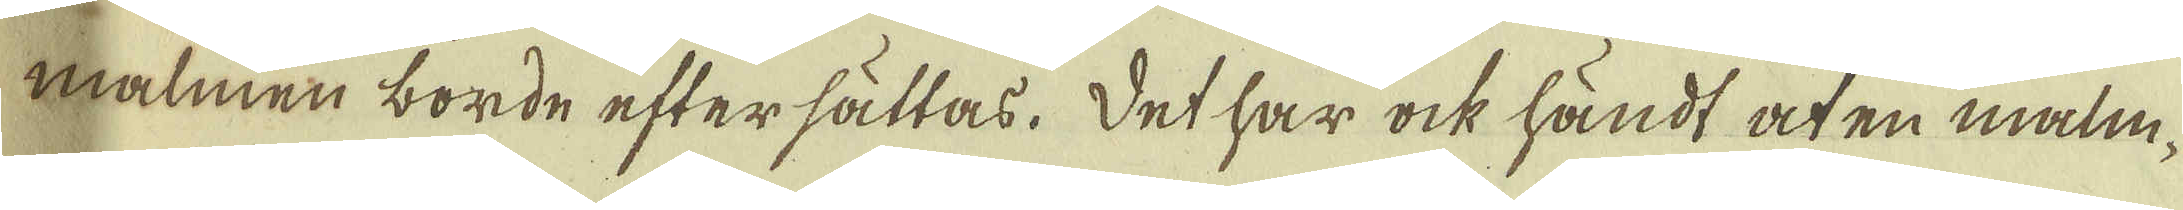malmen borde eftersättas. Det har ock händt at en malm-
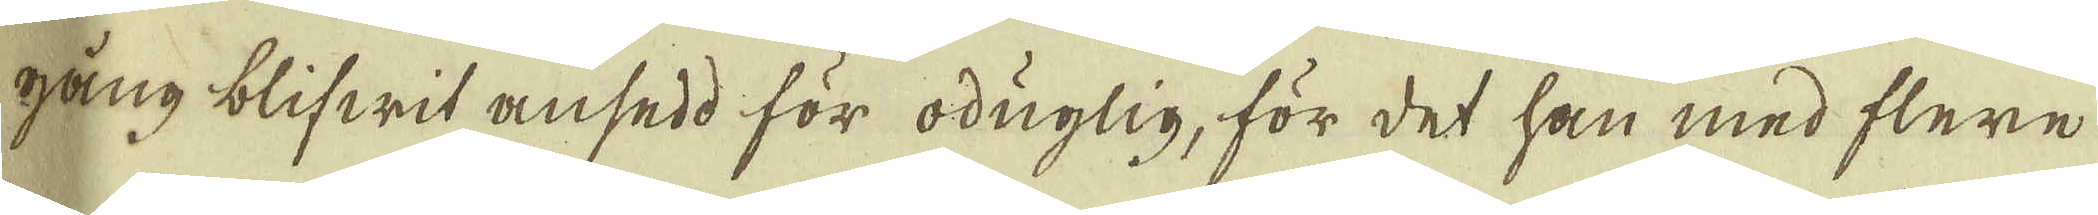gång blifwit ansedd för oduglig, för det han med flere
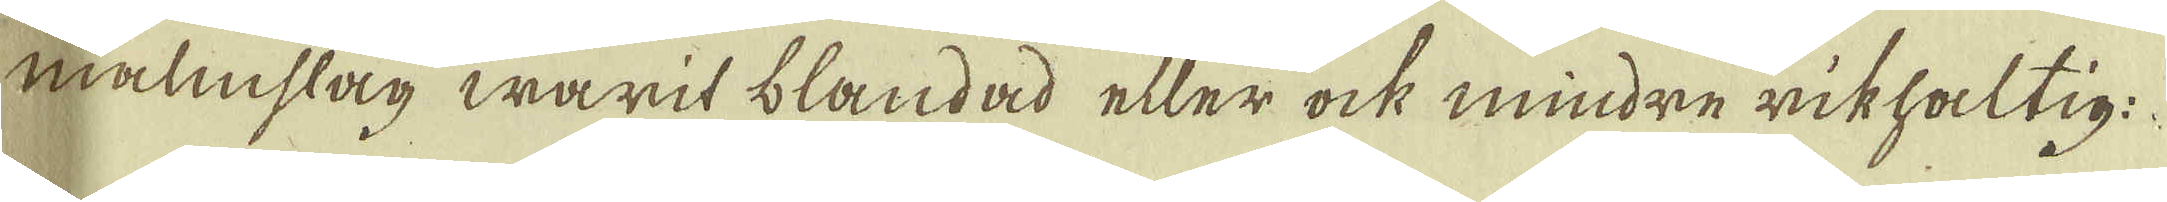malmslag warit blandad eller ock mindre rikhaltig
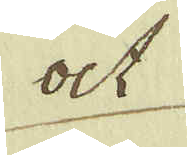ock
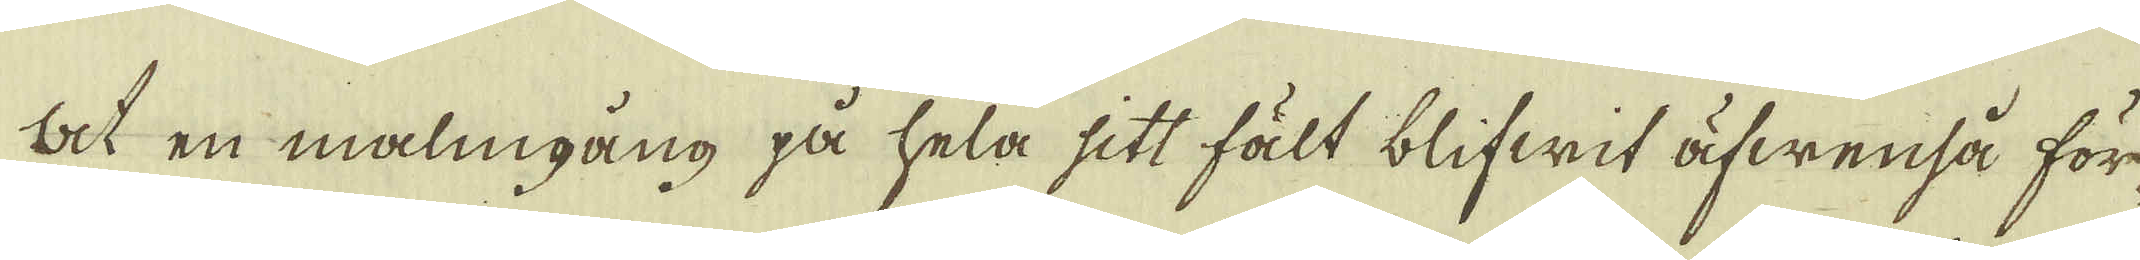at en malmgång på hela sitt fält blifwit äfwenså för-
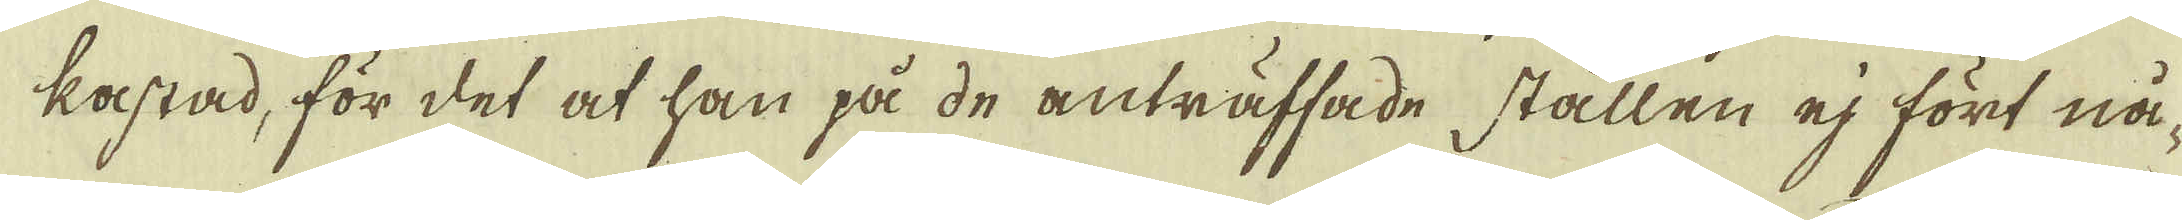lastad, för det at han på de anträffade ställen ej fört nå-
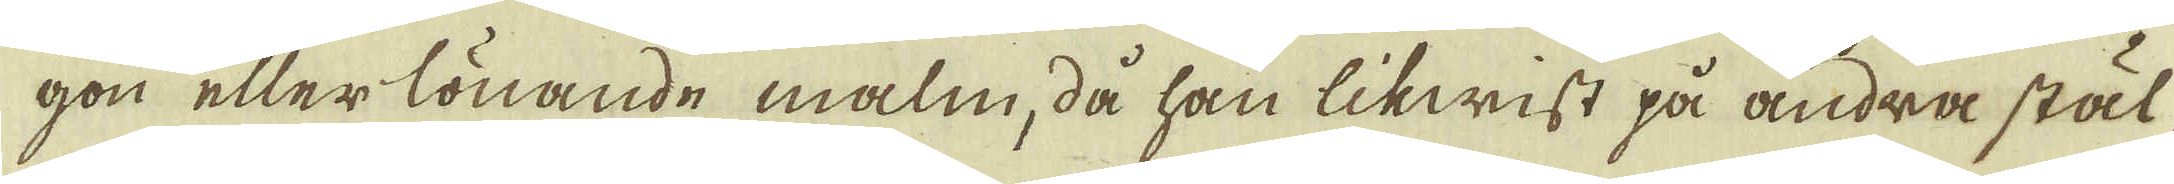gon eller lönande malm, då han likwist på andra stäl-
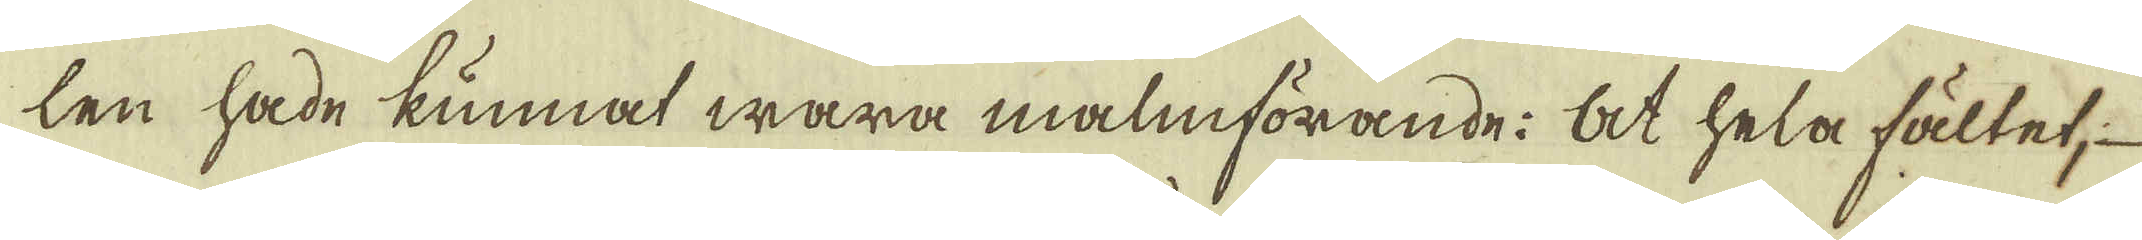len hade kunnat wara malmförande: at hela fältet, 
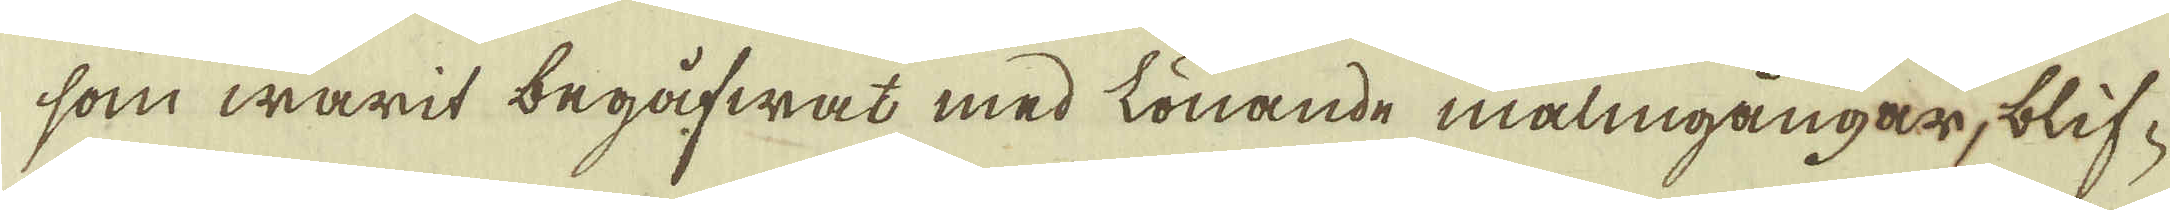som warit begåfwat med lönande malmgångar, blif-
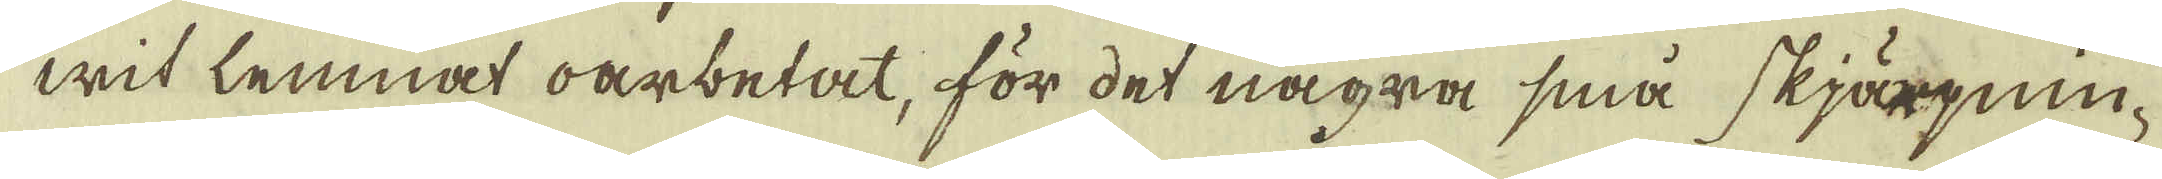wit lemnat oarbetat, för det några sina skjärgnin-
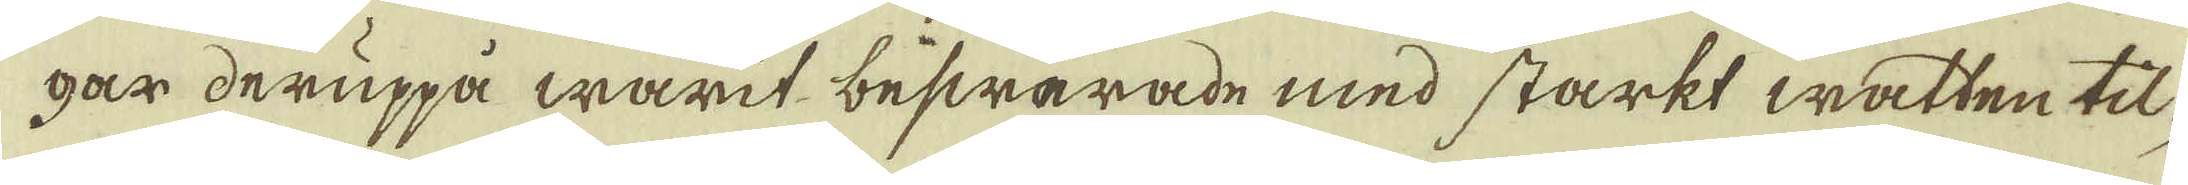gar deruppå warit beswärade med starkt watten til-
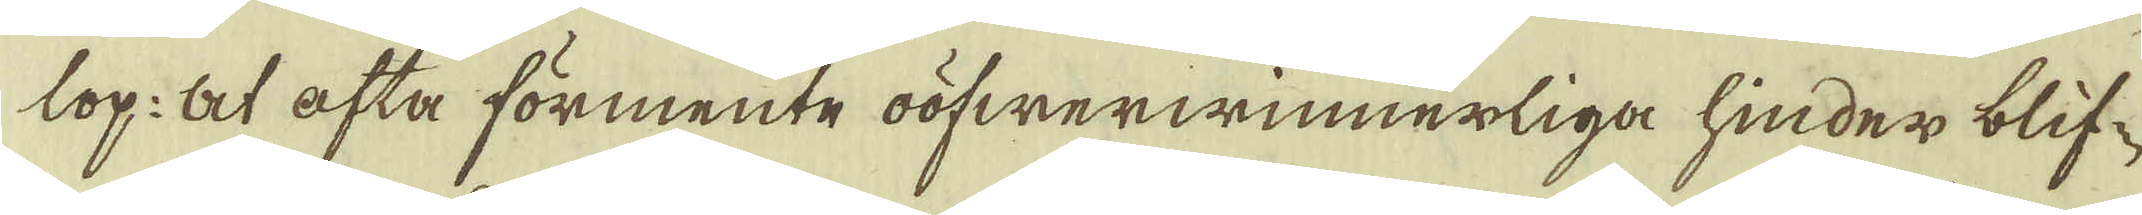lop: At ofta förmente oöfwerwinnerliga hinder blif-
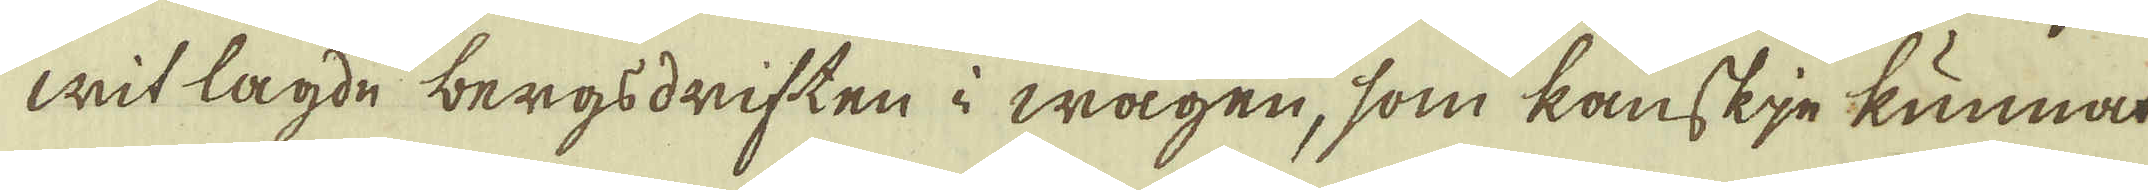wit lagde bergsdriften i wägen, som kanskie kunnat
